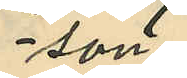son
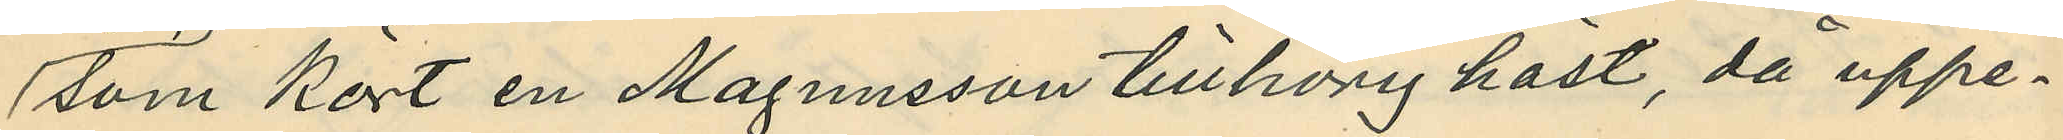som kört en Magnusson tillhörig häst, då uppe¬
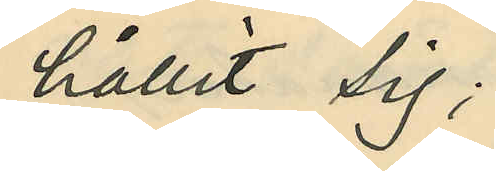hållit sig;
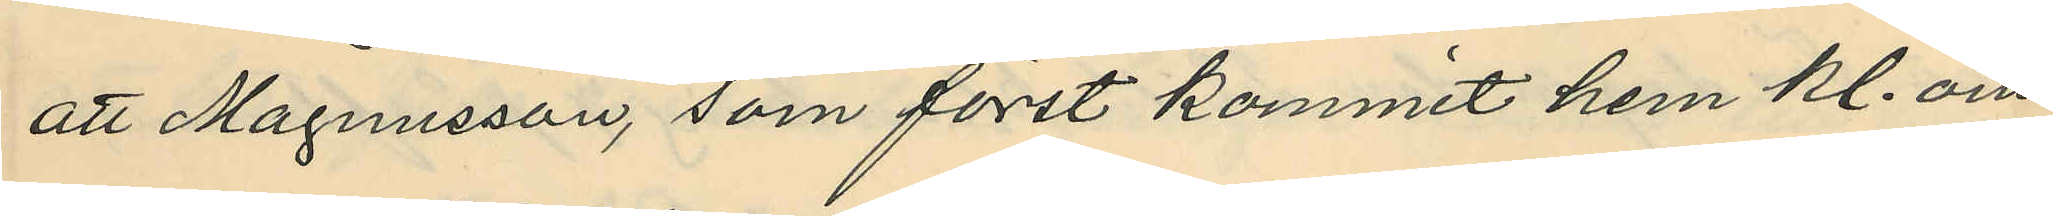att Magnusson, som först kommit hem kl. om¬
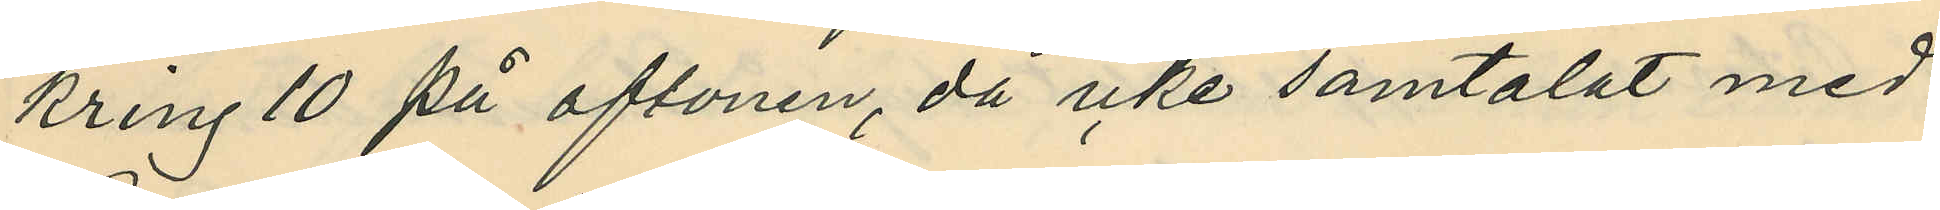kring 10 på aftonen, då icke samtalat med
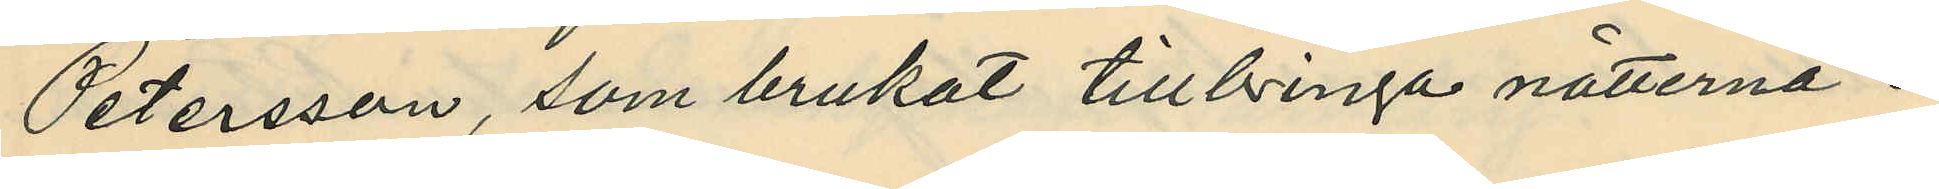Petersson, som brukat tillbringa nätterna i
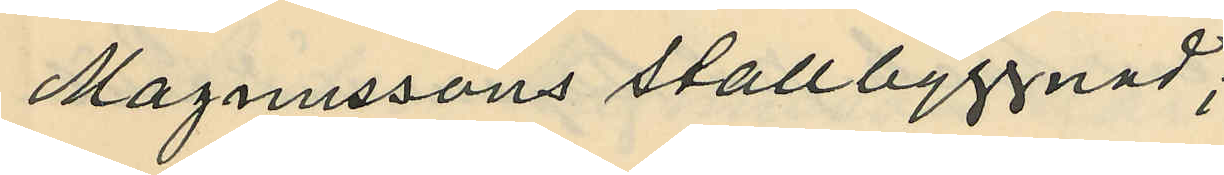Magnussons stallbyggnad;
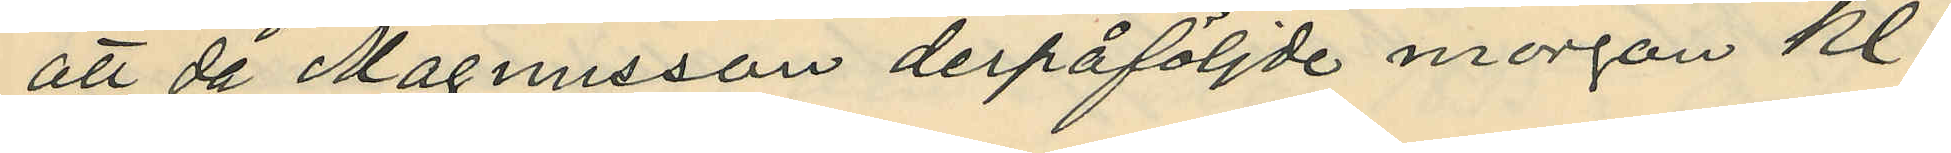att då Magnusson derpåföljde morgon kl.
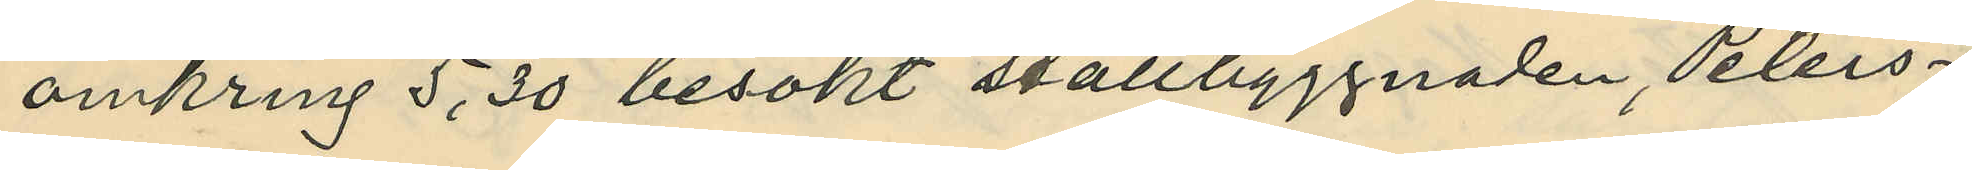omkring 5,30 besökt stallbyggnaden, Peters¬
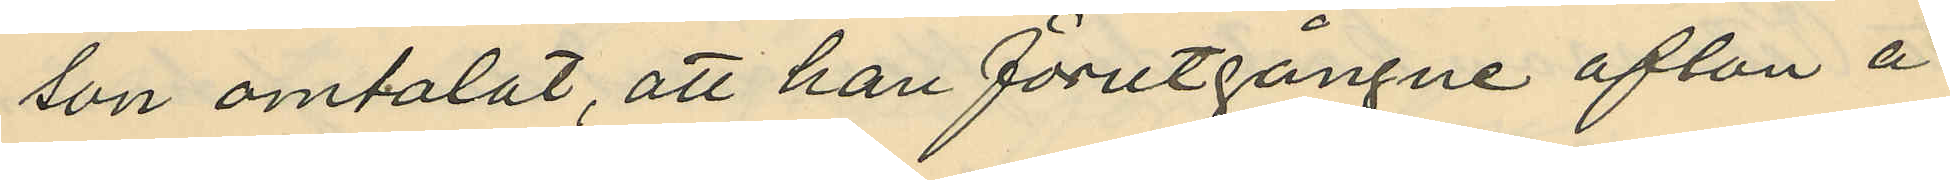son omtalat, att han förutgångne afton å
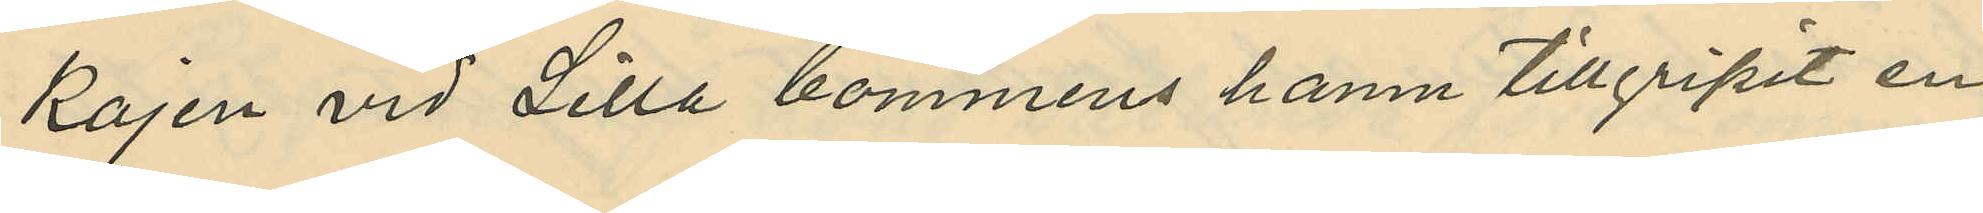kajen vid Lilla bommens hamn tillgripit en
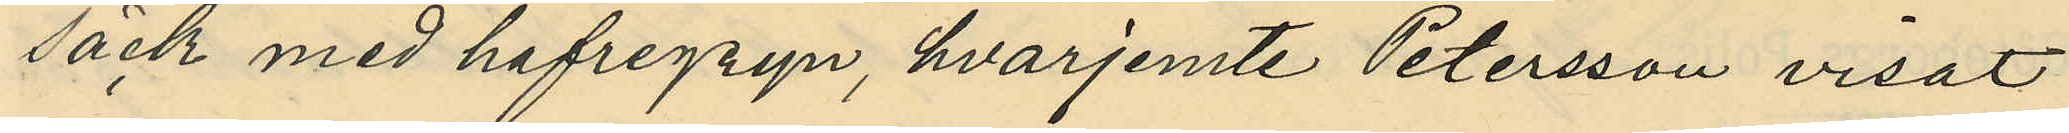säck med hafregryn, hvarjemte Petersson visat
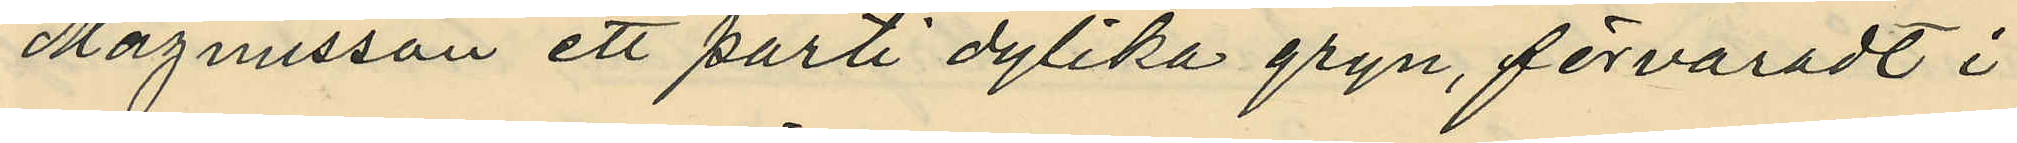Magnusson ett parti dylika gryn, förvaradt i
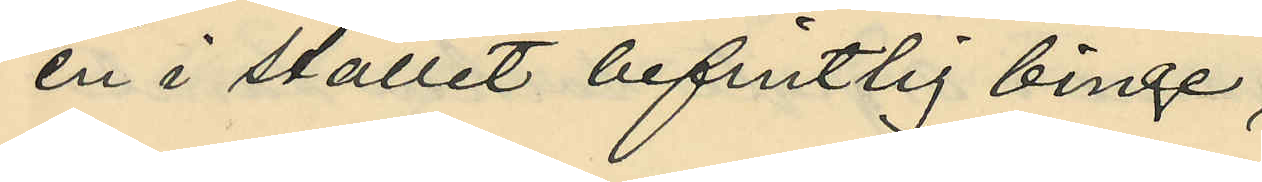en i stället befintlig binge,
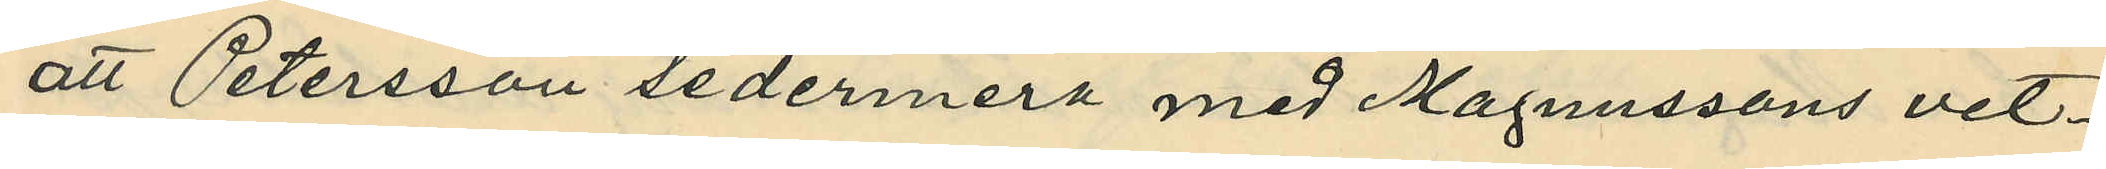att Petersson sedermera med Magnussons vet¬
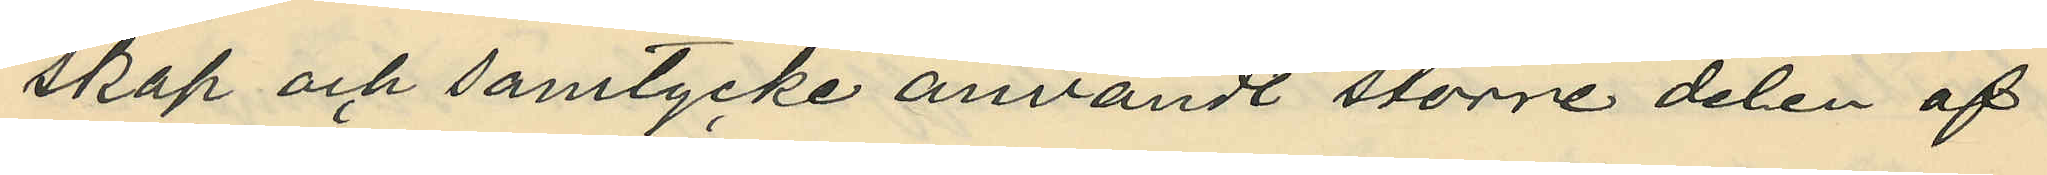skap och samtycke användt större delen af
